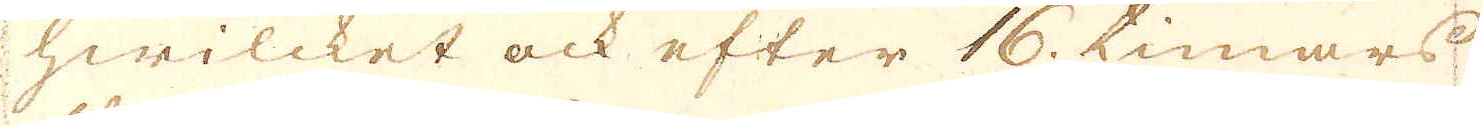hwilcket ock efter 16. timars
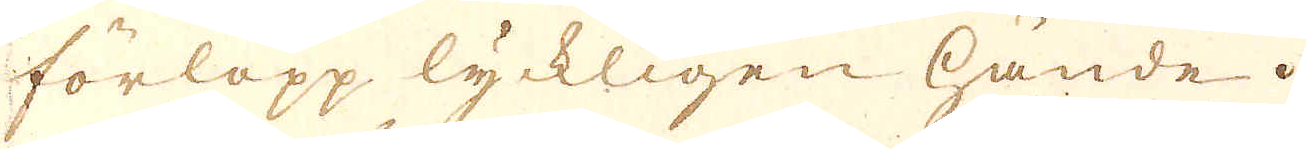förlopp lyckligen hände.
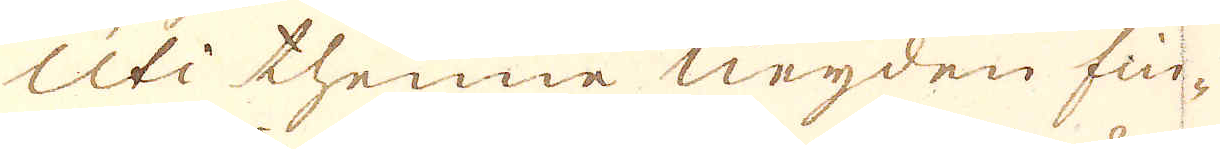Uti thenne Neijden fin-
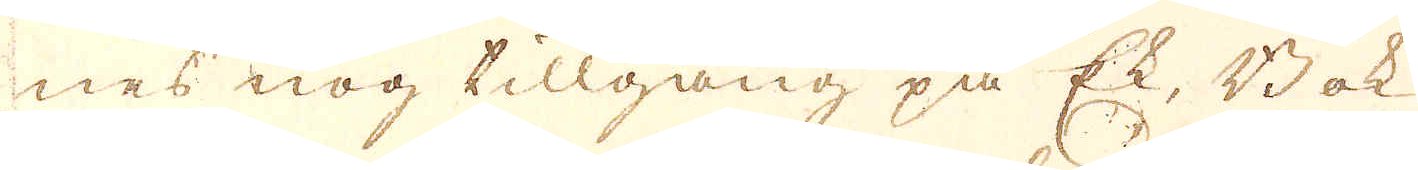nes nog tillgång på Ek, Bok
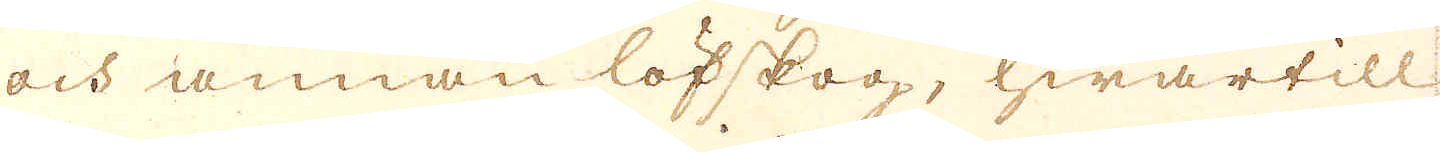och annan löfskog, hwartill
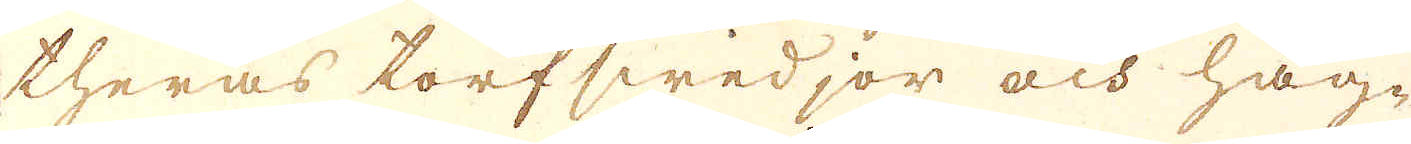theras torfswedjor och häg-
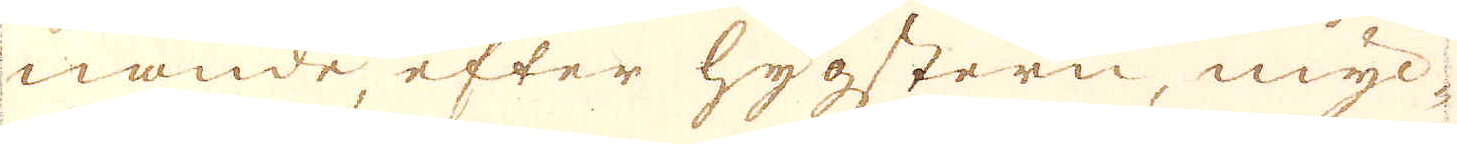nande, efter hygstern, myc-
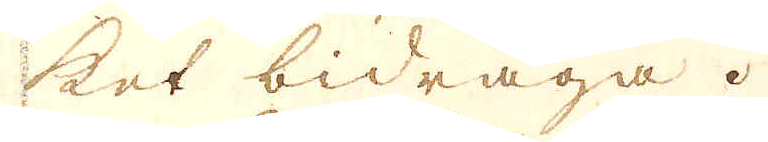ket bidraga.
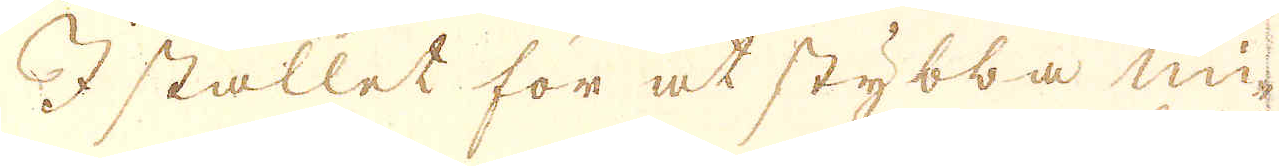I stället för at stybba mi-
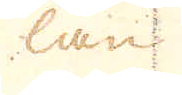lan
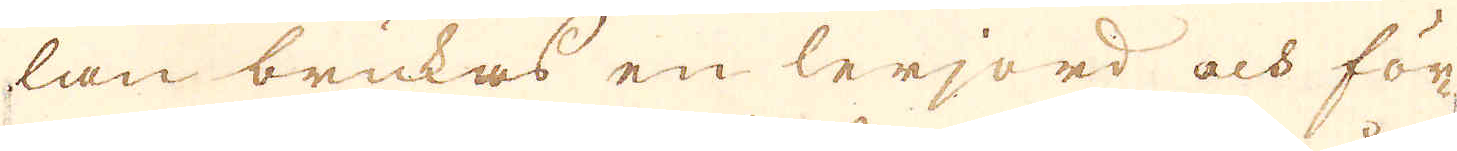lan brukas en lerjord och för-
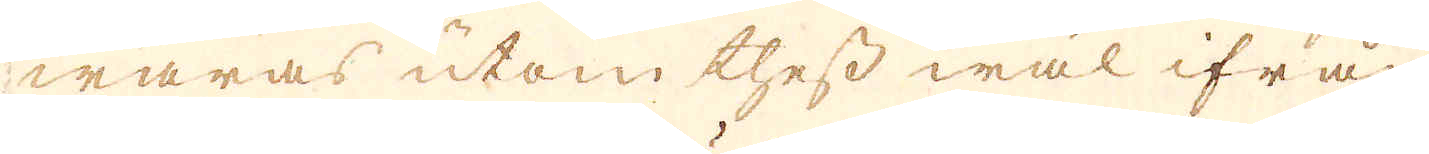waras utom thess wäl ifrån
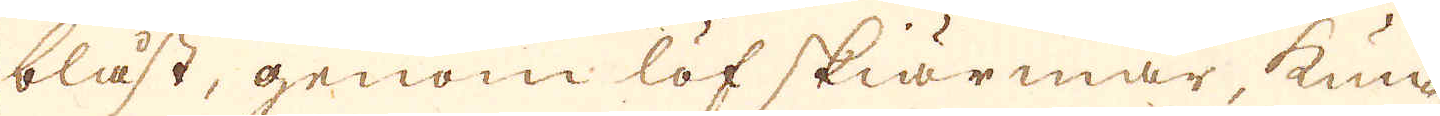blåst, genom löf skiärmar, kun-
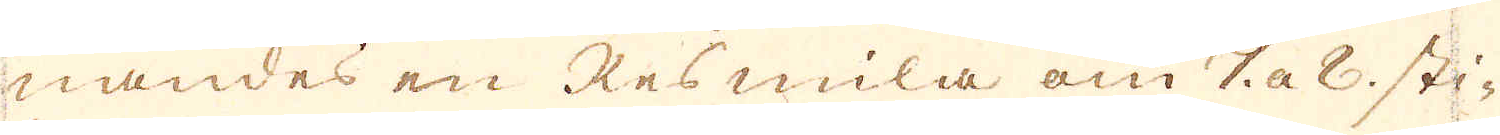nandes en Resmila om 7 a 8 sti-
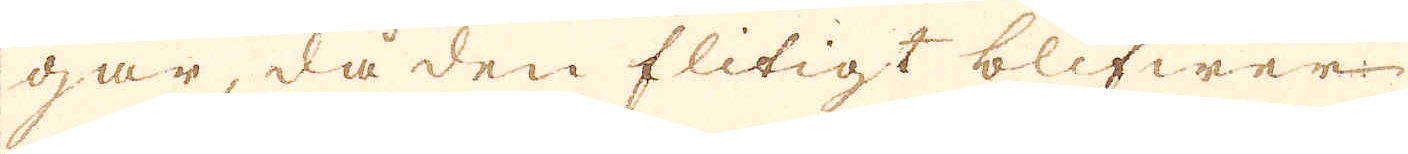gar, då den flitigt blifwer
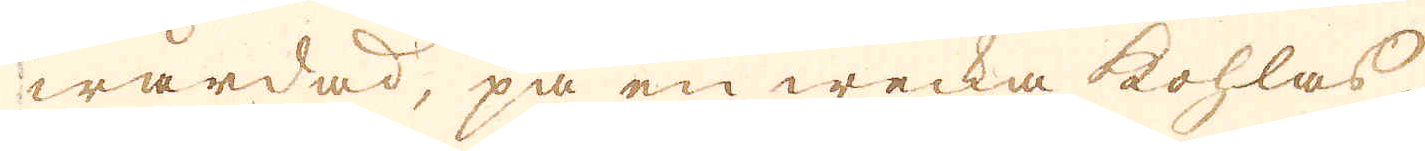wårdad, på en wecka kohlas,
